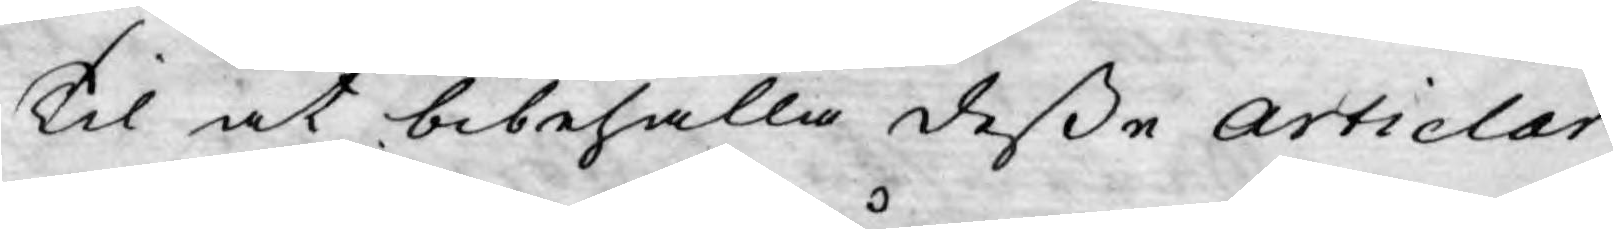Til at bibehålla desse Articlar
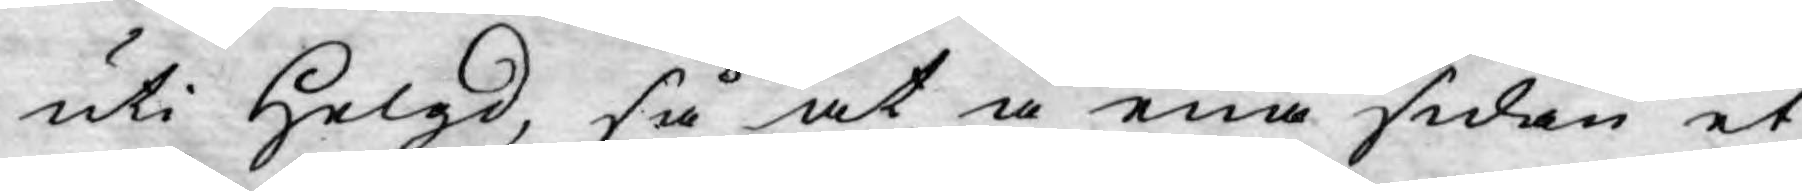uti helgd, så at å ena sidan et
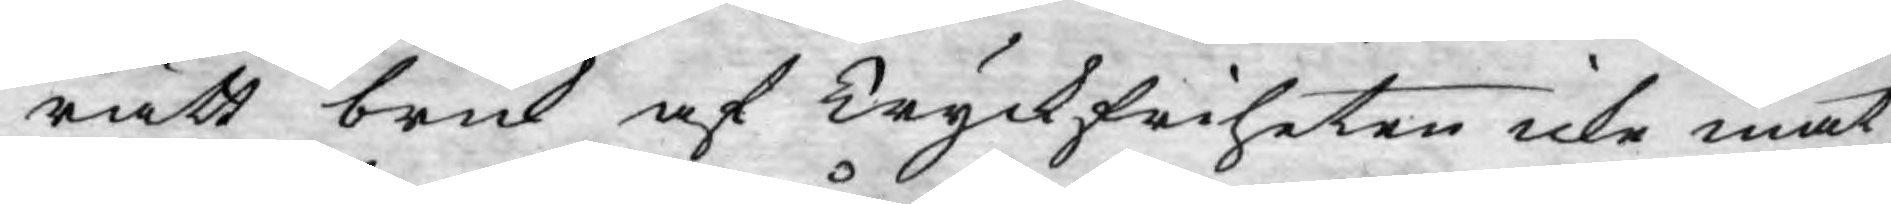rätt bruk af Tryckfriheten icke måt¬
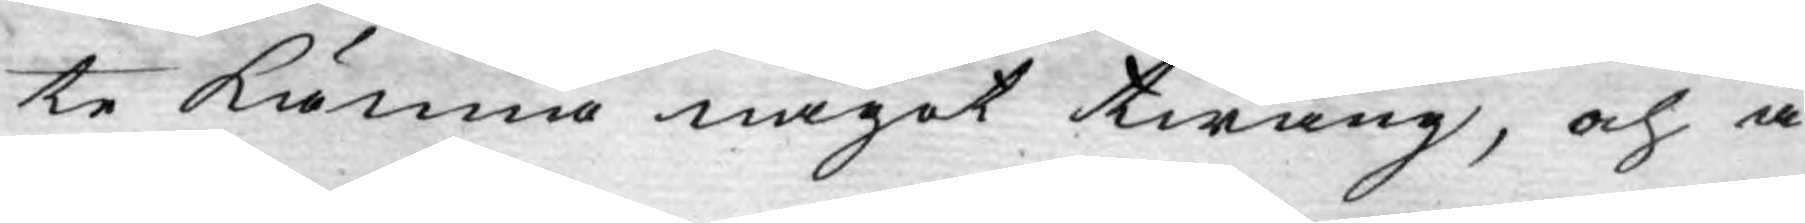te känna något twång, och å
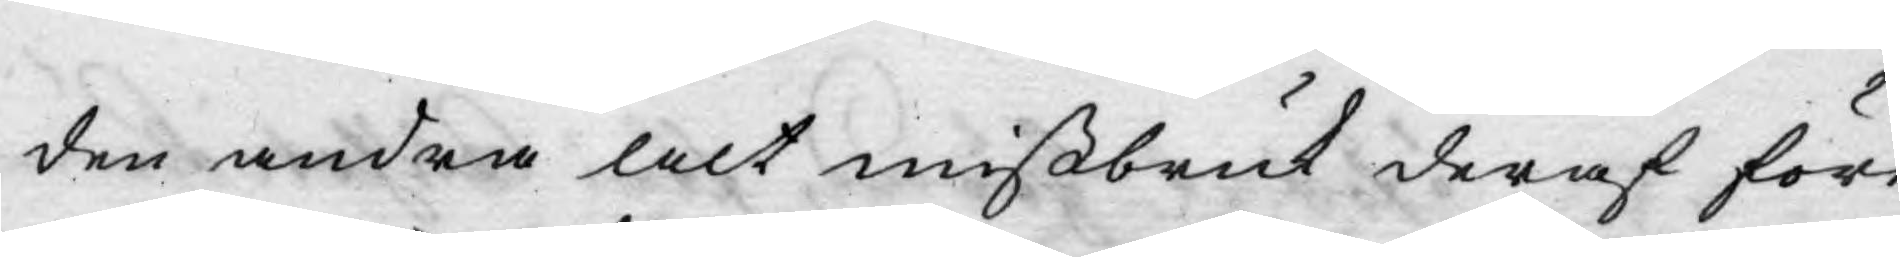den andra alt mißbruk deraf före¬
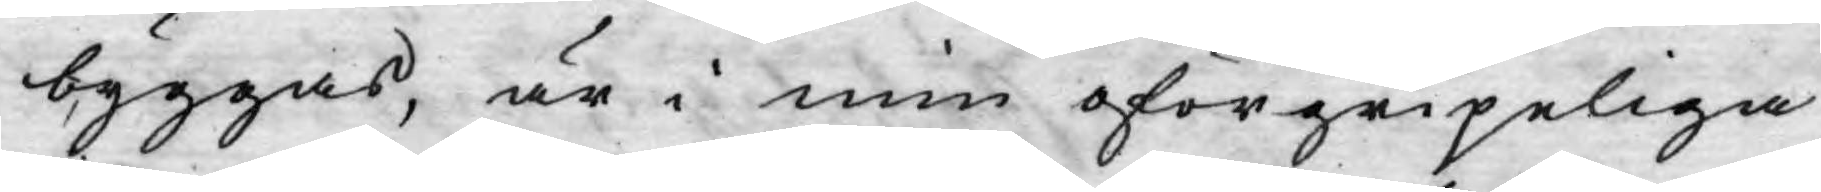byggas, är i min oförgripeliga
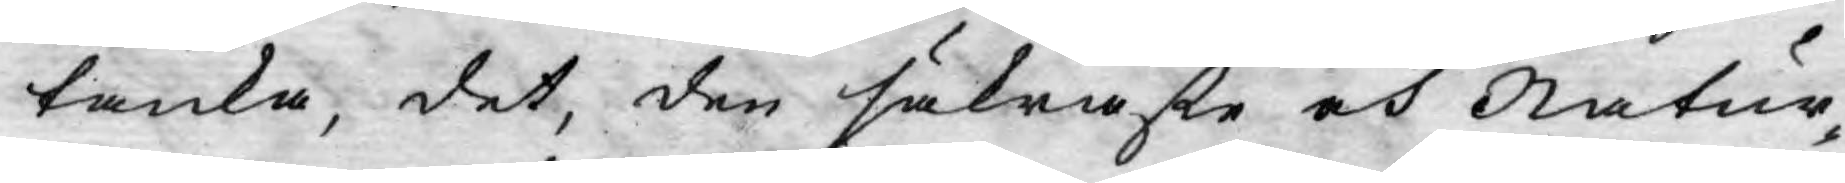tanka, det, den säkraste och Natur¬
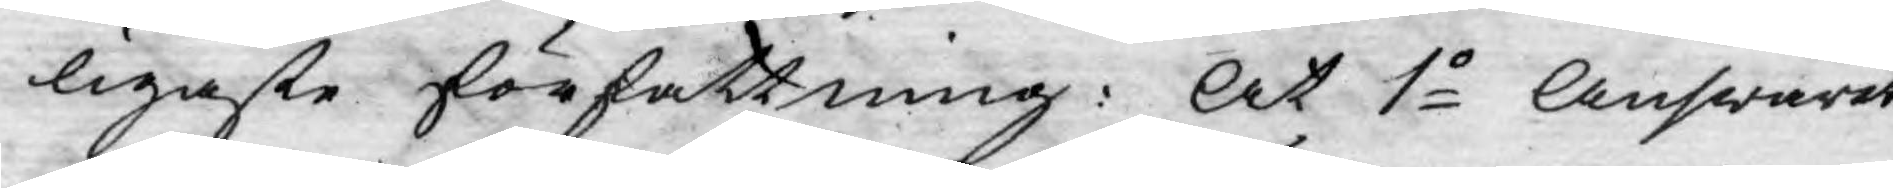ligaste författning: At 1o Answarat
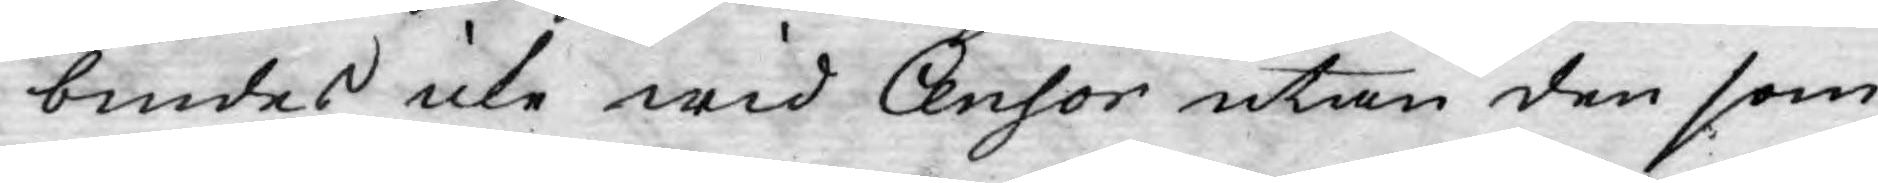bindes icke wid Censor utan den som
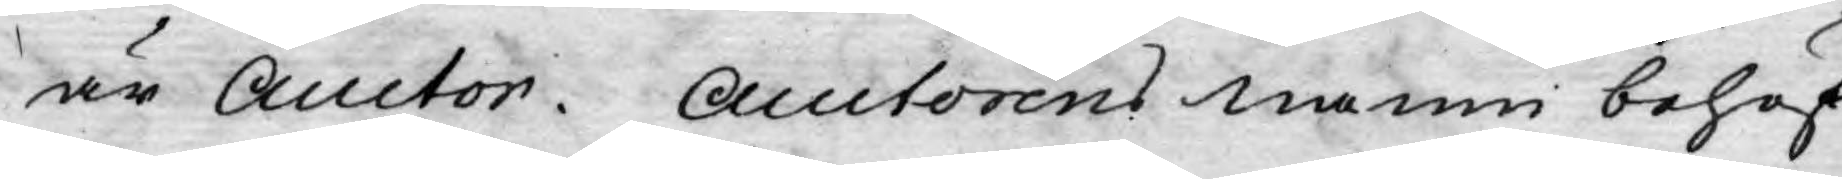är Auctor. Auctorens namn behöf¬
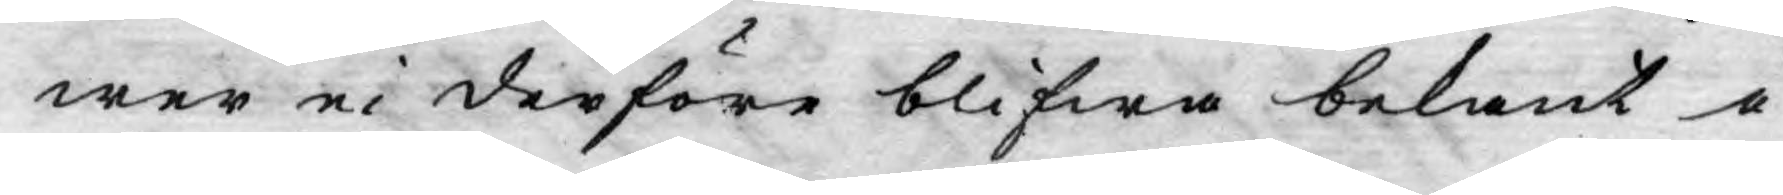wer ei derföre blifwa bekant i
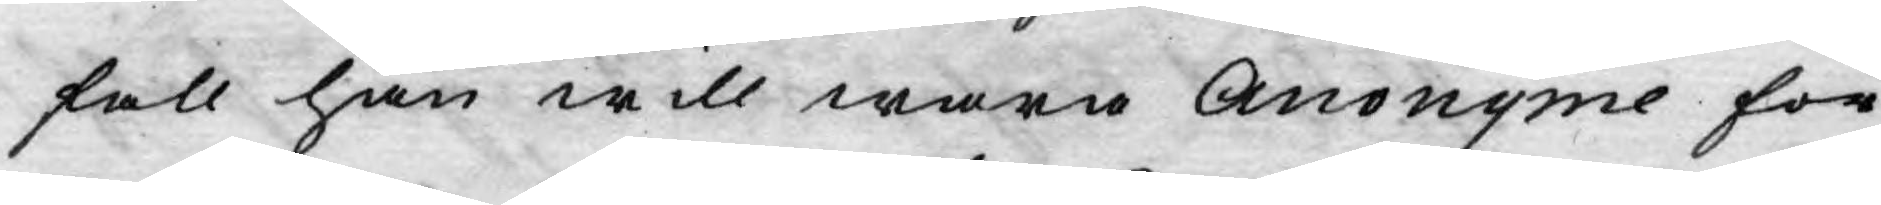fall han will wara Anonyme för
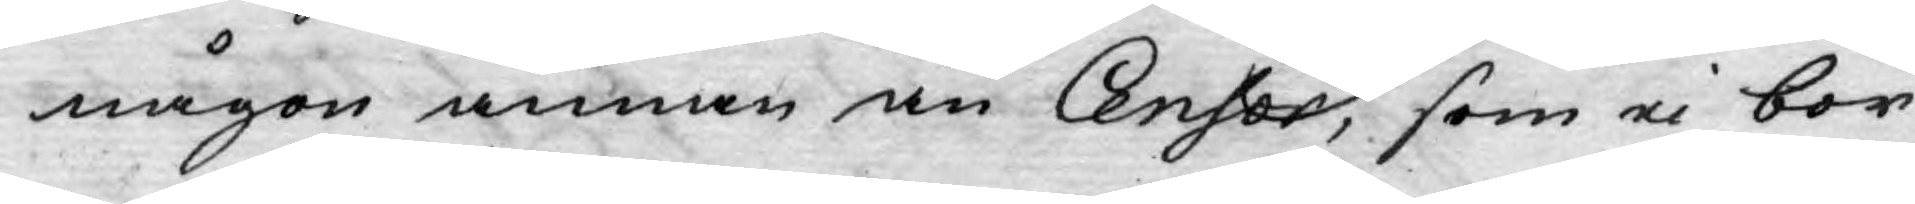någon annan än Censor, som ej bör
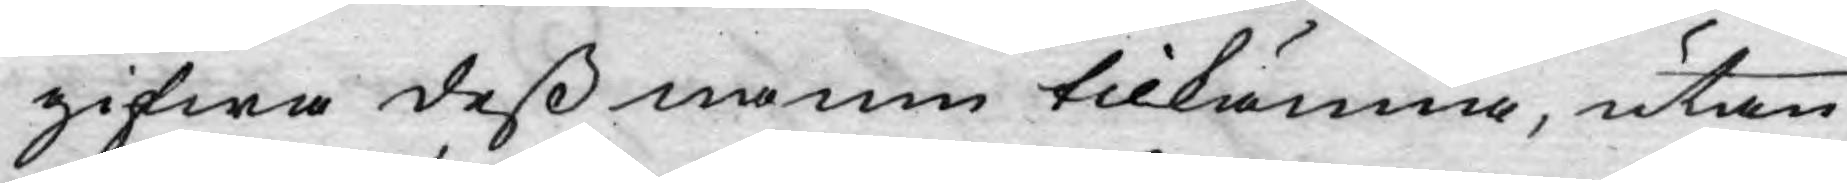gifwa dess namn tilkänna, utan
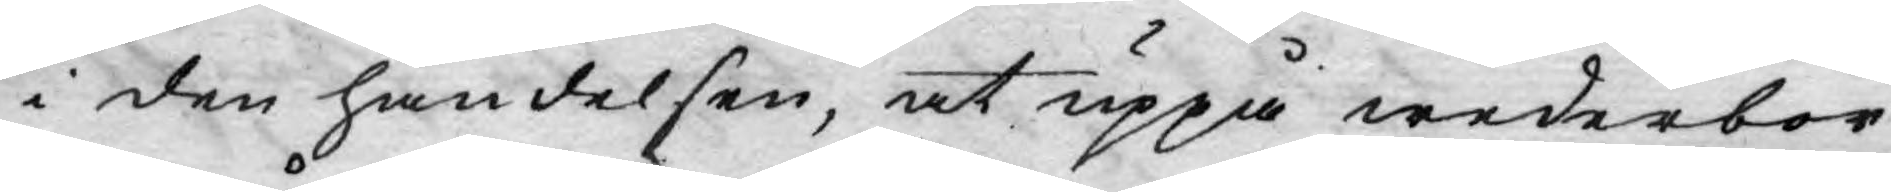i den händelsen, at uppå wederbör¬
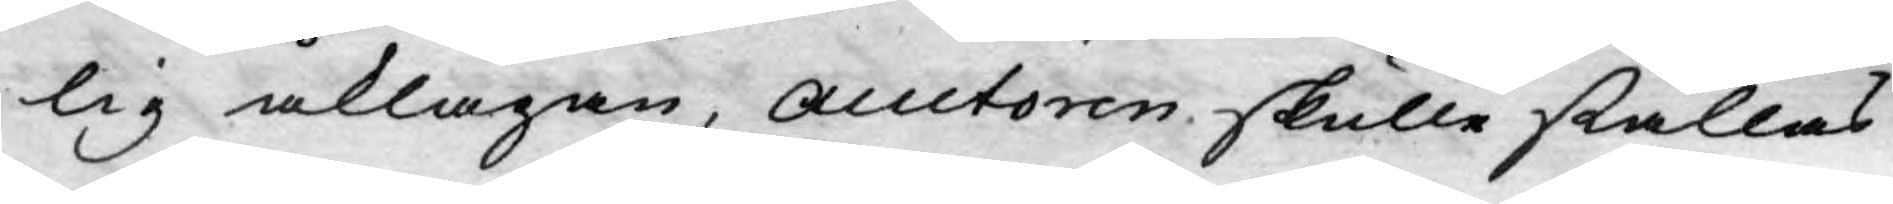lig åklagan, auctoren skulle ställas
